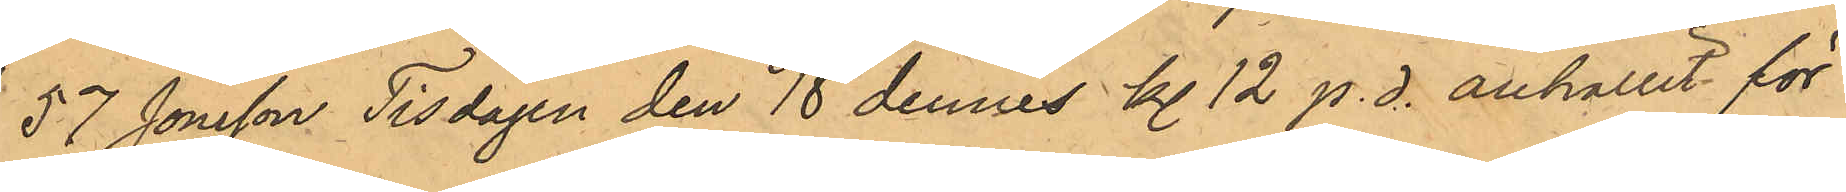57 Jonsson Tisdagen den 18 dennes kl. 12 p. d. anhållit för
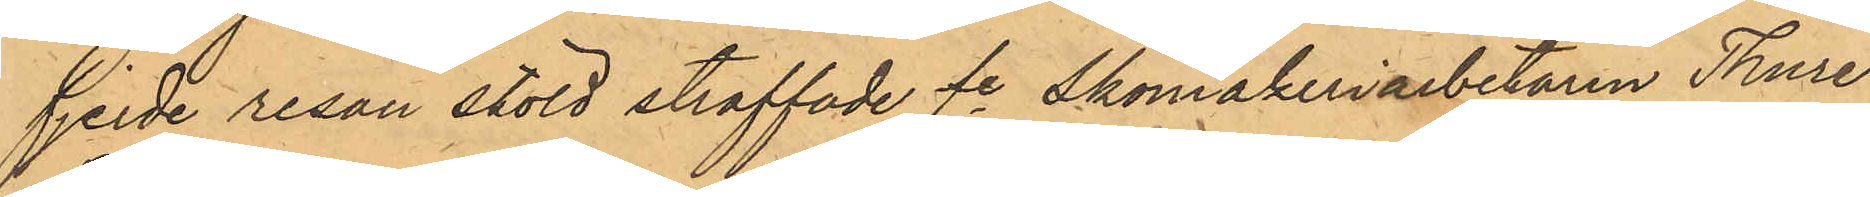fjerde resan stöld straffade fe Skomakeriarbetaren Thure
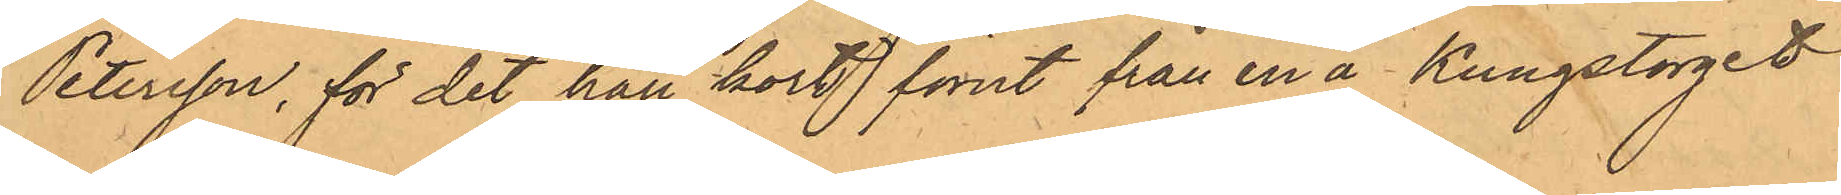Petersson, för det han kort förut från en å Kungstorget  
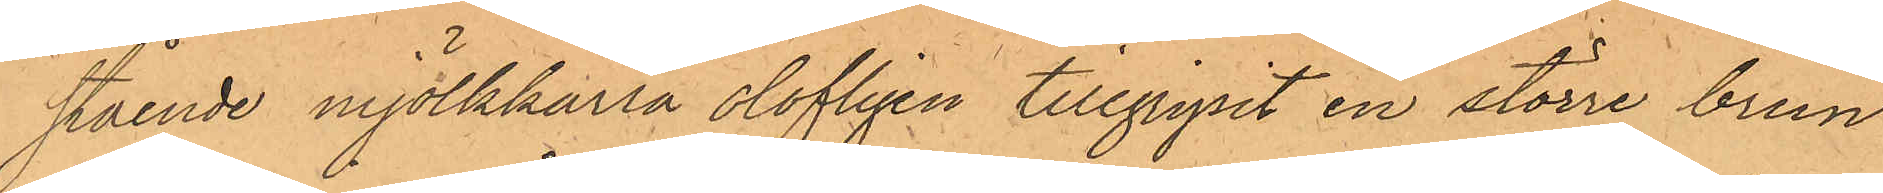stående mjölkkärra olofligen tillgripit en större brun
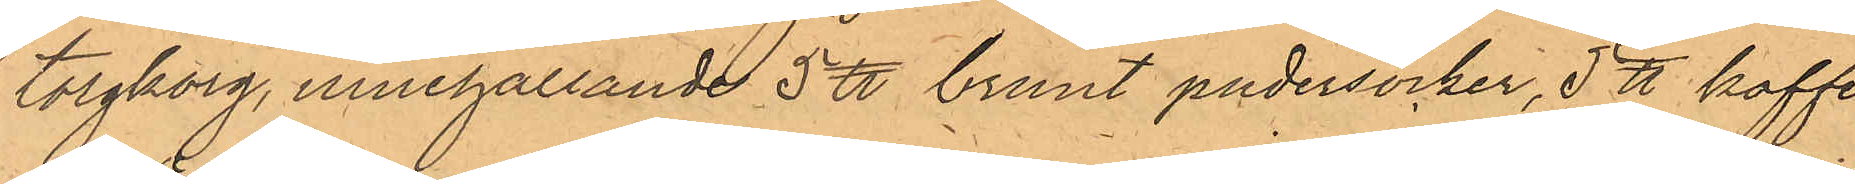torgkorg, innehållande 5 ℔ brunt pudersocker, 5 ℔ kaffe
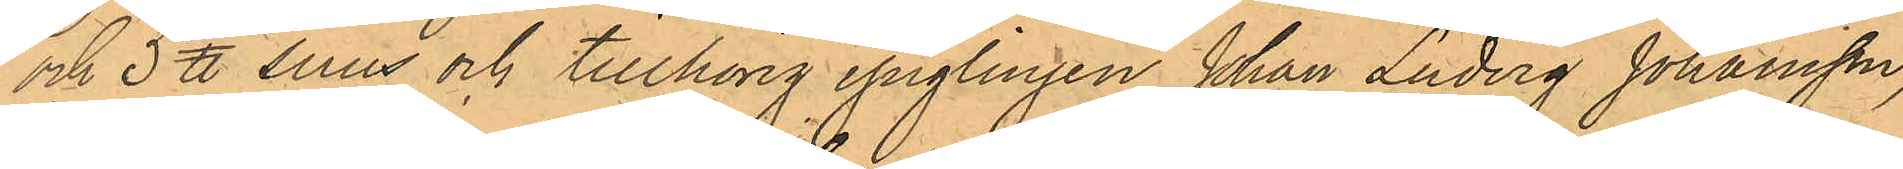och 3 ℔ snus och tillhörig ynglingen Johan Ludvig Johansson,
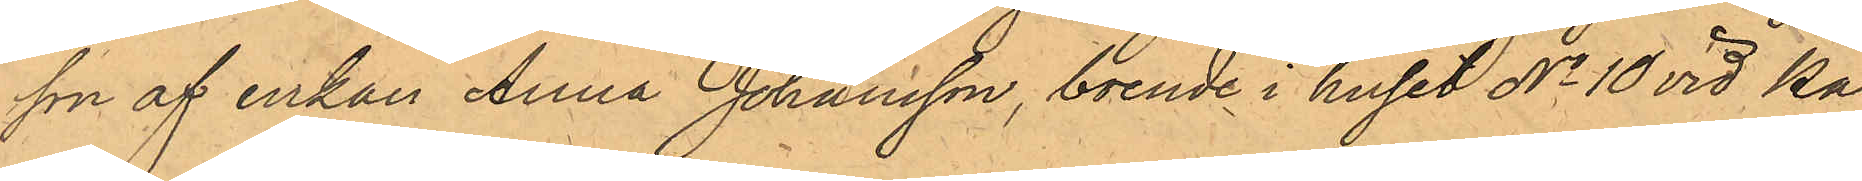son af enkan Anna Johansson, boende i huset No 10 vid Ka¬
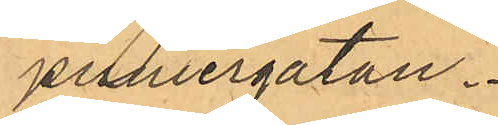puniergatan.
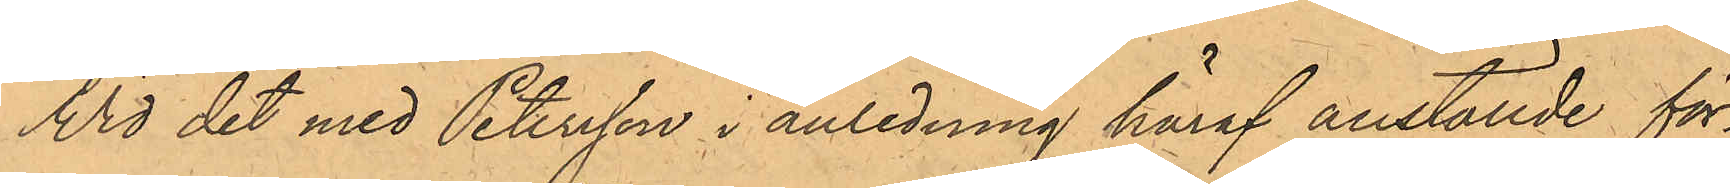Wid det med Petersson i anledning häraf anställde för¬
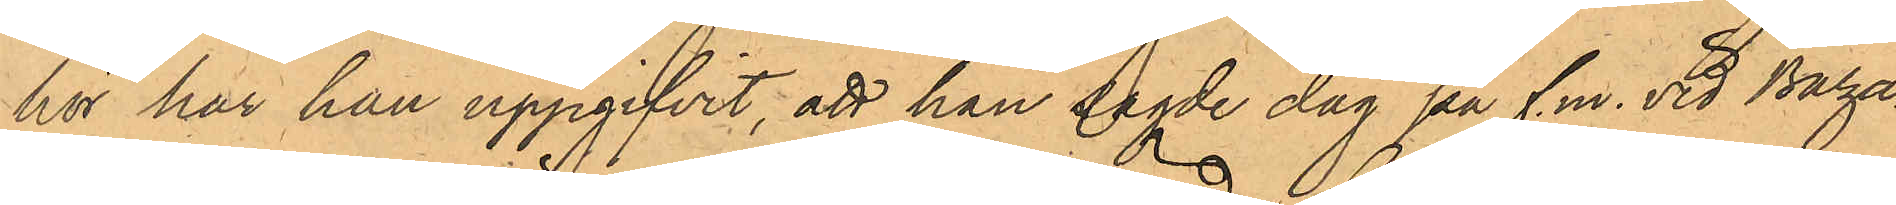hör har han uppgifvit, att han sagde dag på f.m. vid Baza¬
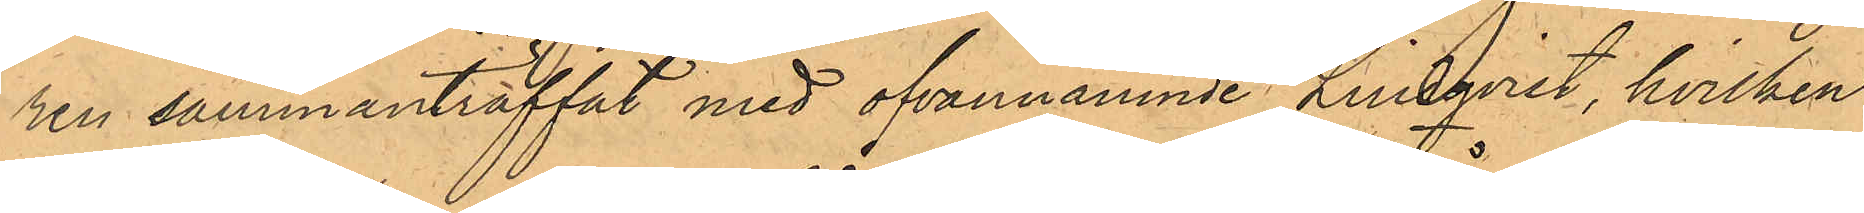ren sammanträffat med ofvannämnde Lindqvist, hvilken
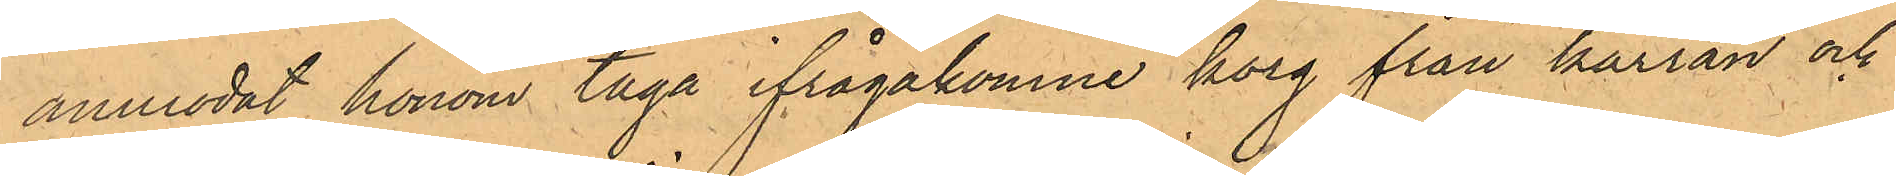anmodat honom taga ifrågakomne korg från kärran och
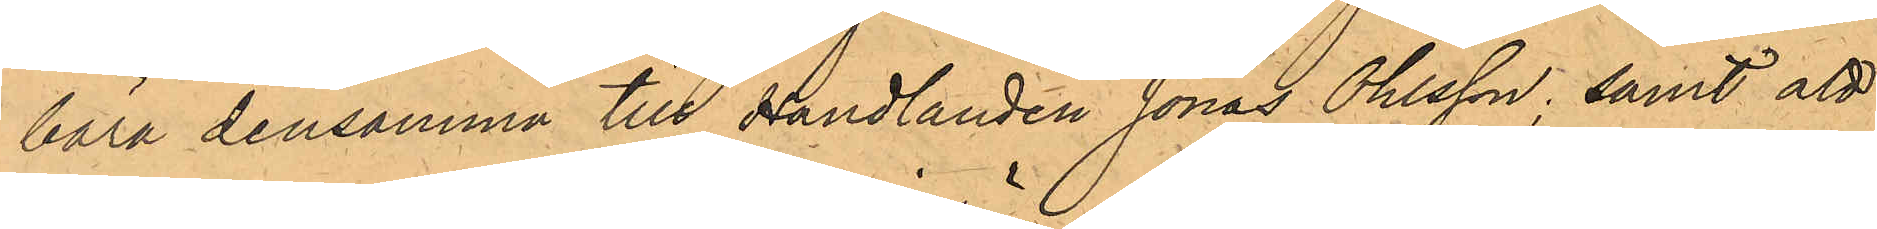bära densamma till Handlanden Jonas Ohlsson; samt att
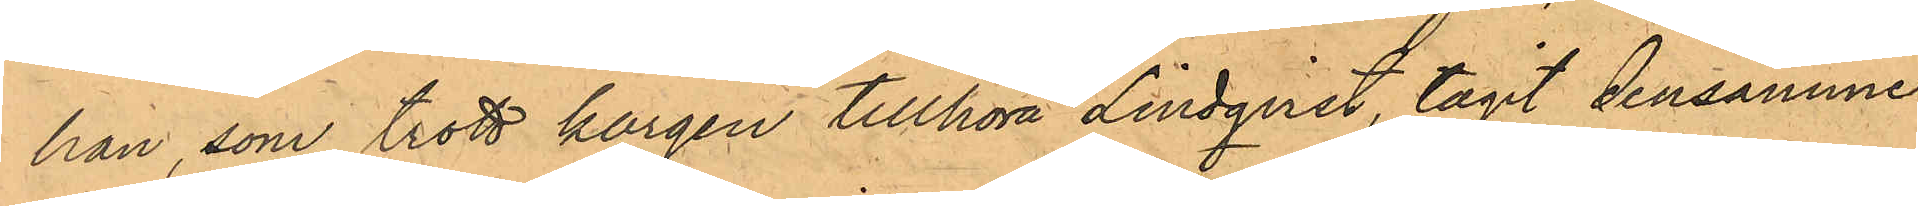han, som trott korgen tillhöra Lindqvist, tagit densamme
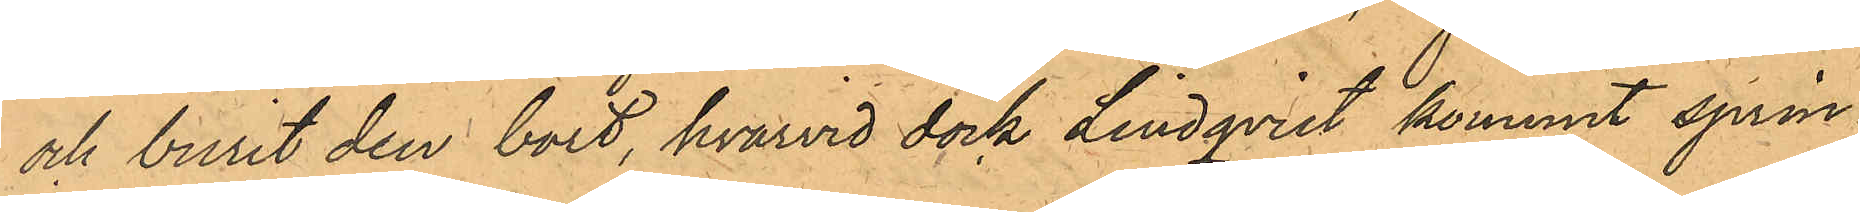och burit den bort, hvarvid dock Lindqvist kommit sprin¬
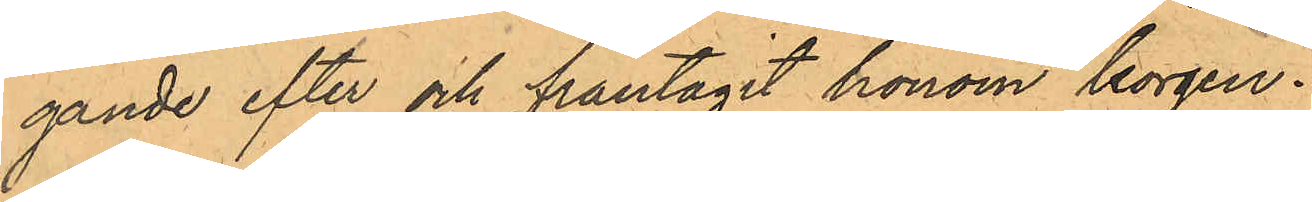gande efter och fråntagit honom korgen.
